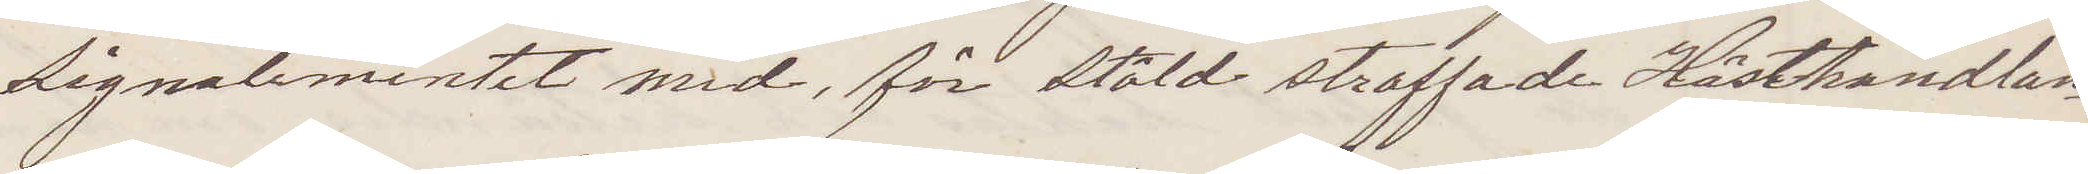Signalementet med för stöld straffade Hästhandlan¬
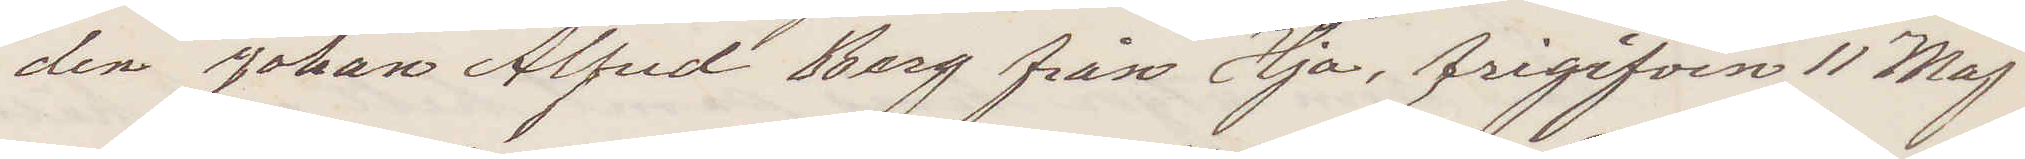den Johan Alfred Borg från Hjo, frigifven 11 Maj
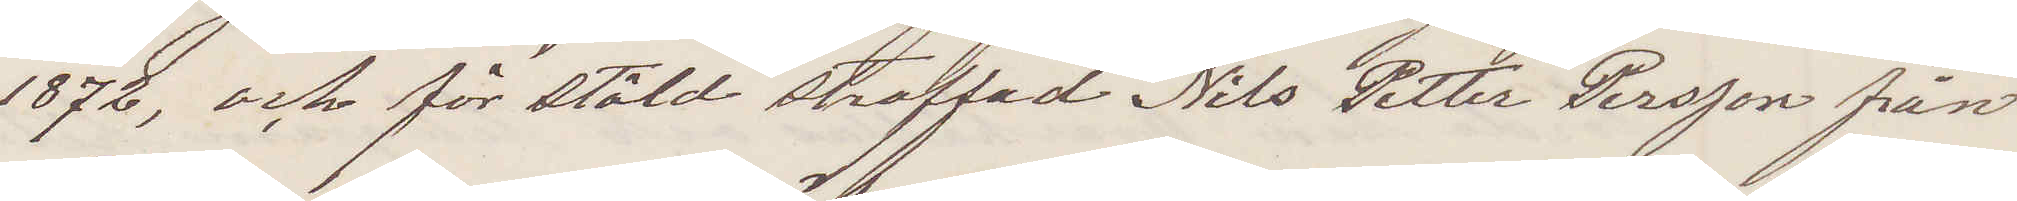1872, och för stöld straffade Nils Petter Persson från
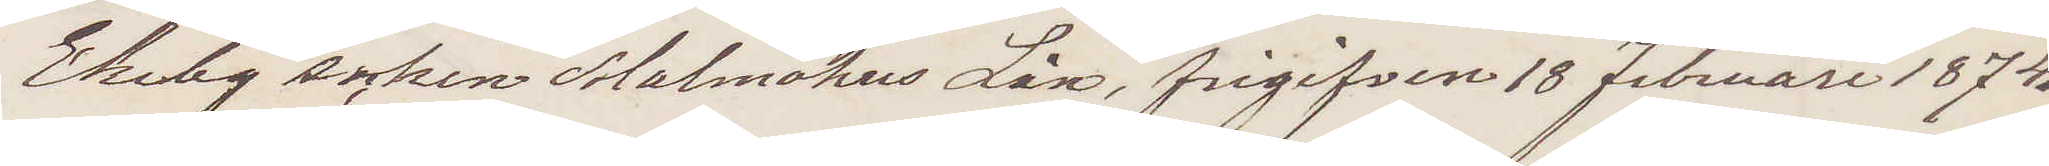Ekeby socken Malmöhus Län, frigifven 18 Februari 1874.
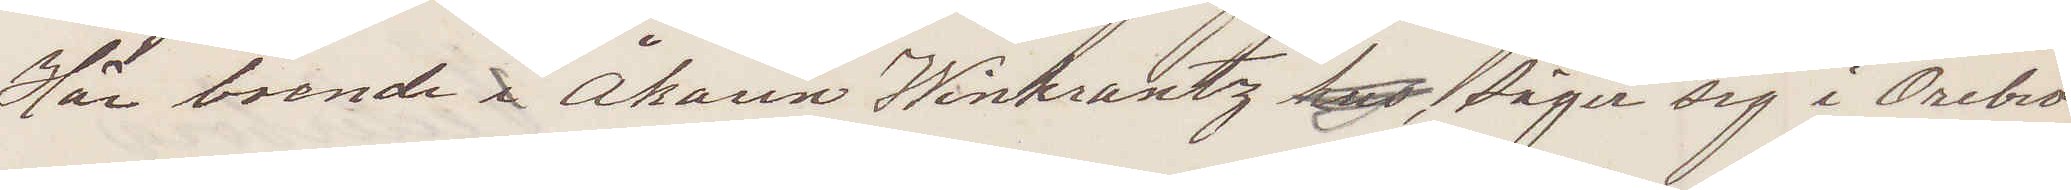Här boende i Åkaren Winkrantz hus säger sig i Örebro
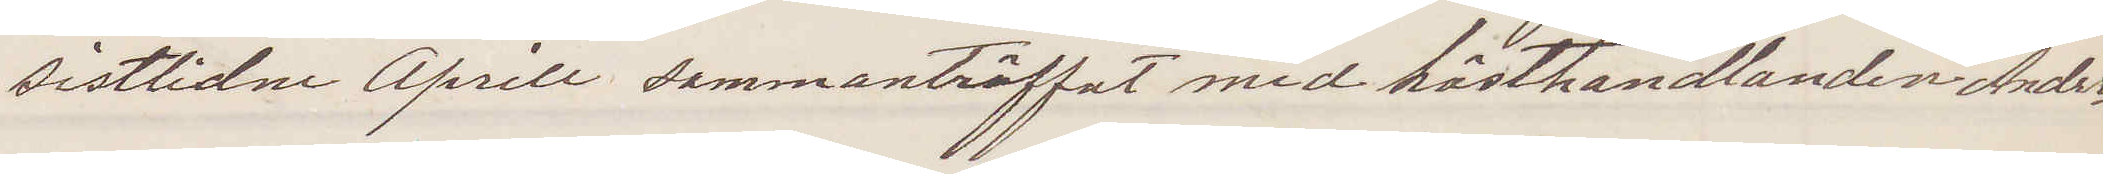sistlidne April sammanträffat med hästhandlanden Ander¬
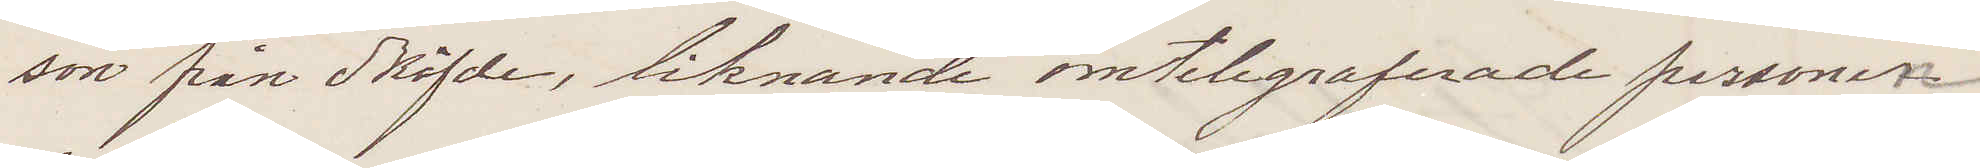son från Sköfde, liknande omtelegraferade personen
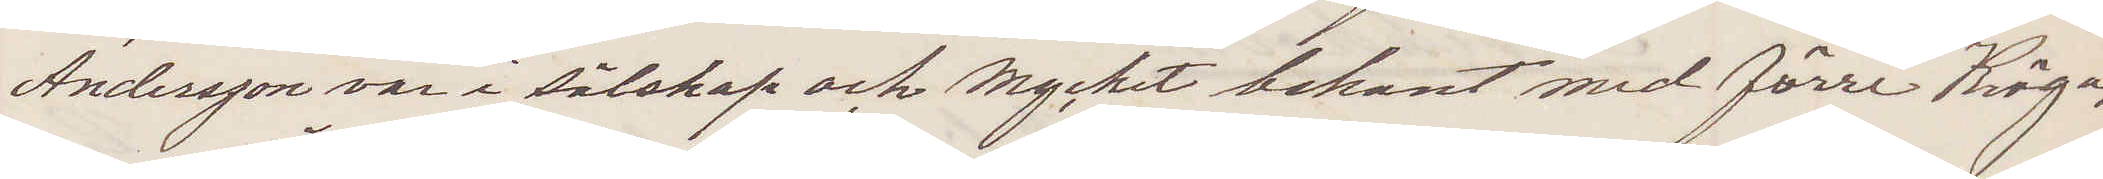Andersson var i sälskap och mycket bekant med förre Kröga¬
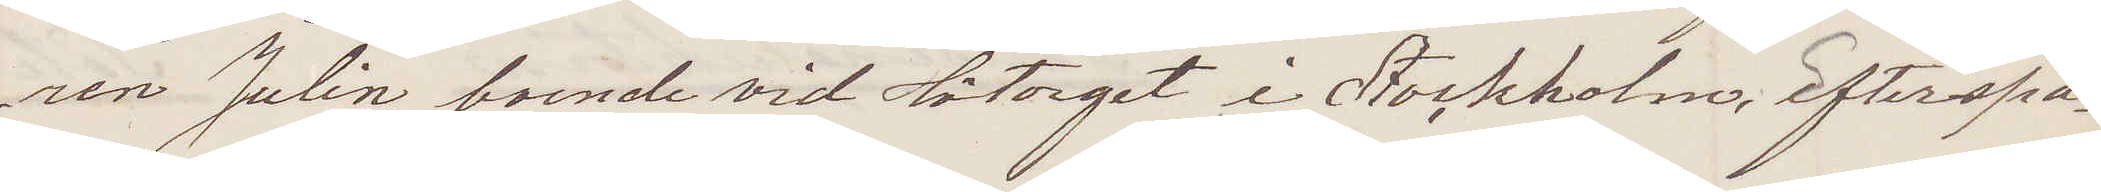ren Julin boende vid Hötorget i Stockholm. Efterspa¬
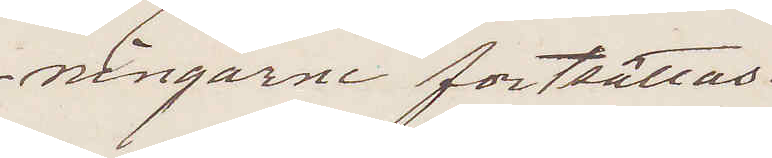ningarne fortsättas.
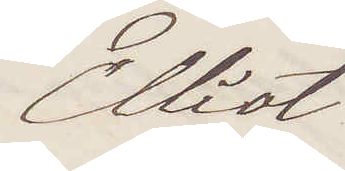Elliot
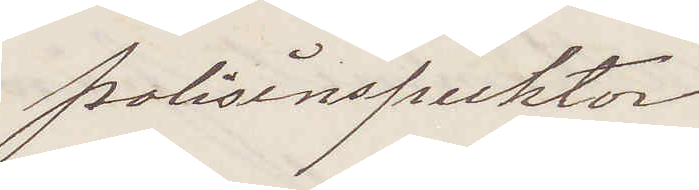Polisinspektor
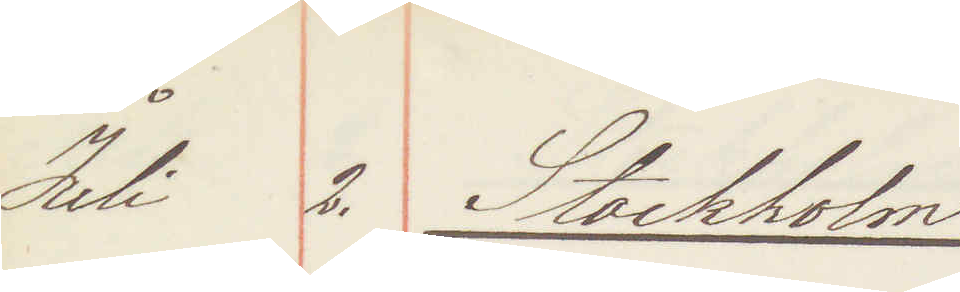Juli 2. Stockholm
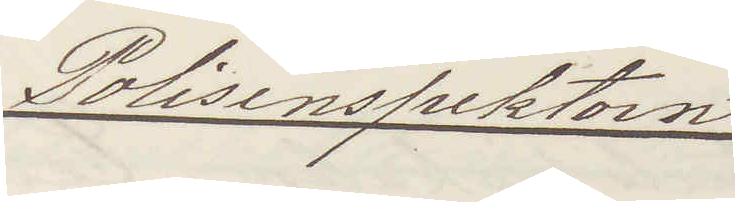Polisinspektorn
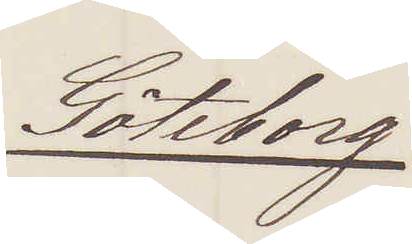Göteborg
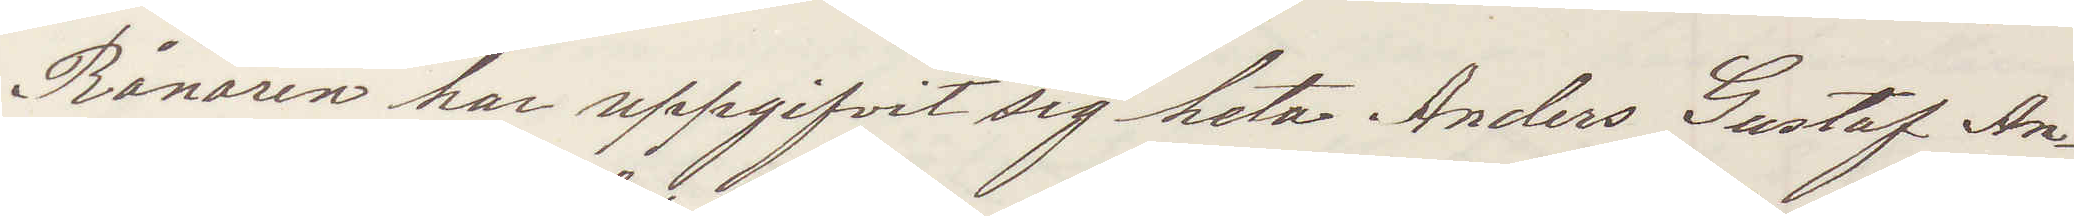Rånaren har uppgifvit sig heta Anders Gustaf An¬
